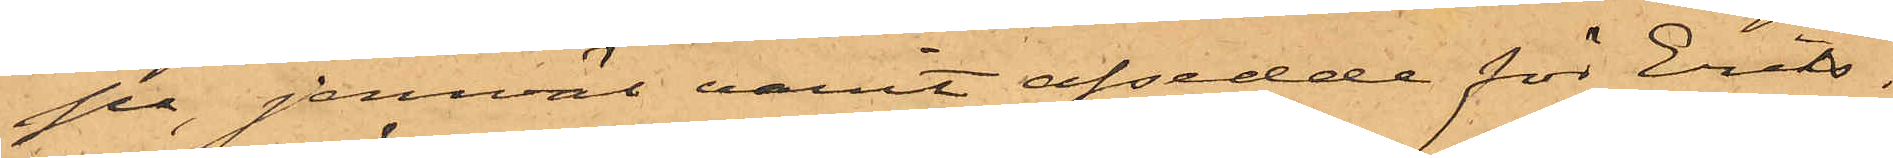pa, jemväl varit afsedde för Eriks¬
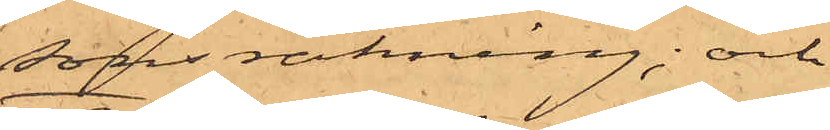sons räkning; och
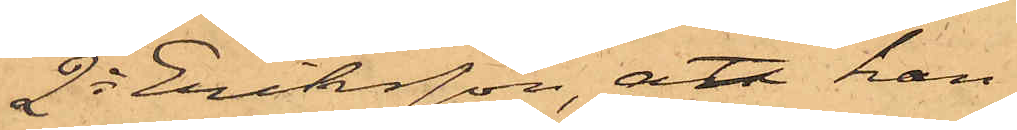2o Eriksson, att han
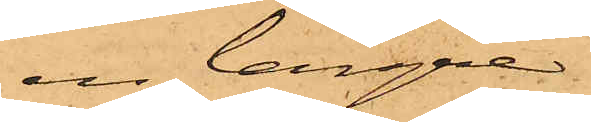en längre
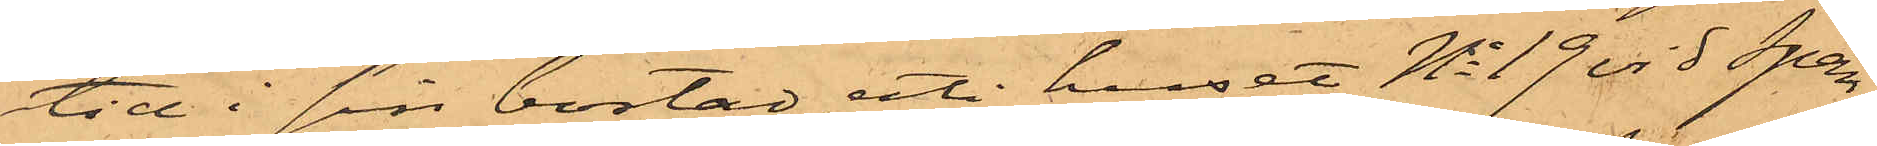tid i sin bostad uti huset No 19 vid Span¬
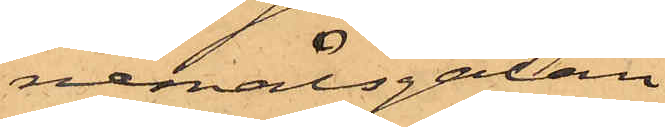nemålsgatan
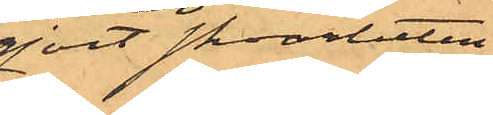gjort skoarbeten
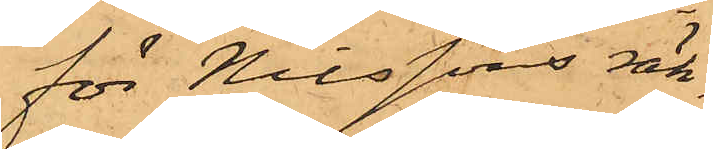för Nilssons räk¬
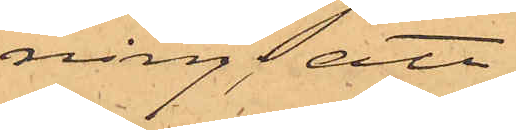ning; att
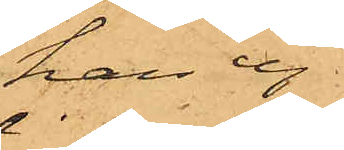han ej
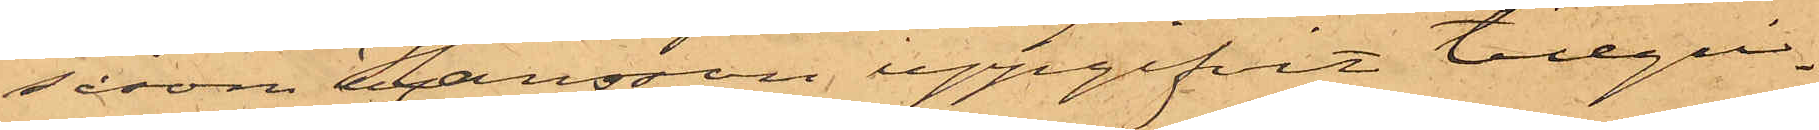såsom Hansson uppgifvit tillgri¬
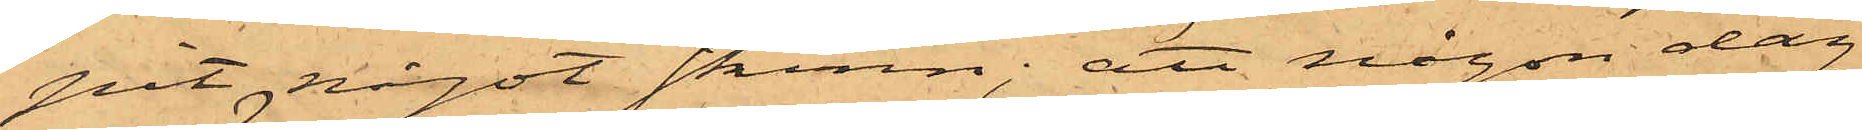pit något skinn; att någon dag
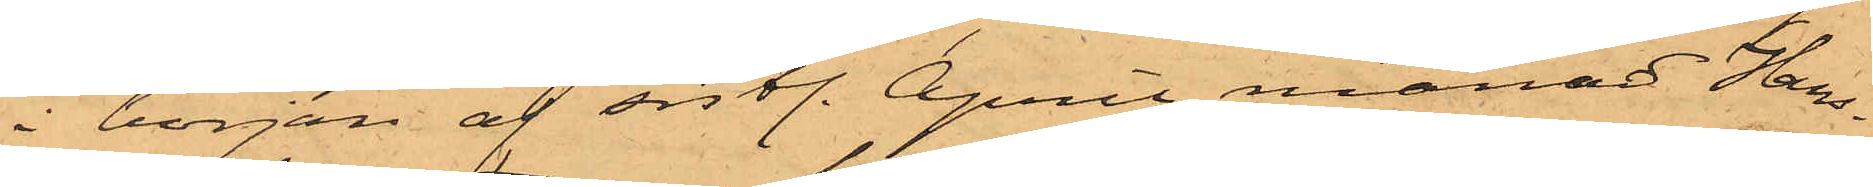i början af sistl. April månad Hans¬
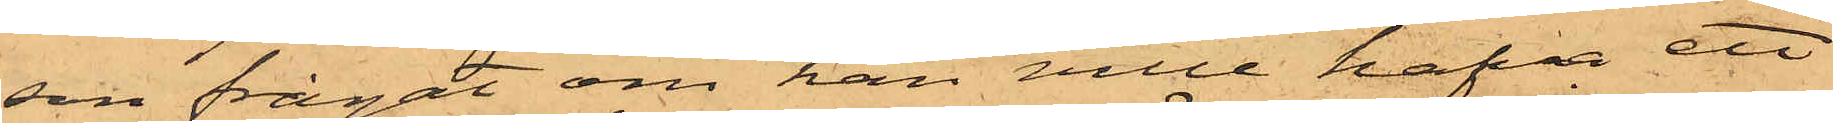son frågat om han ville hafva ett
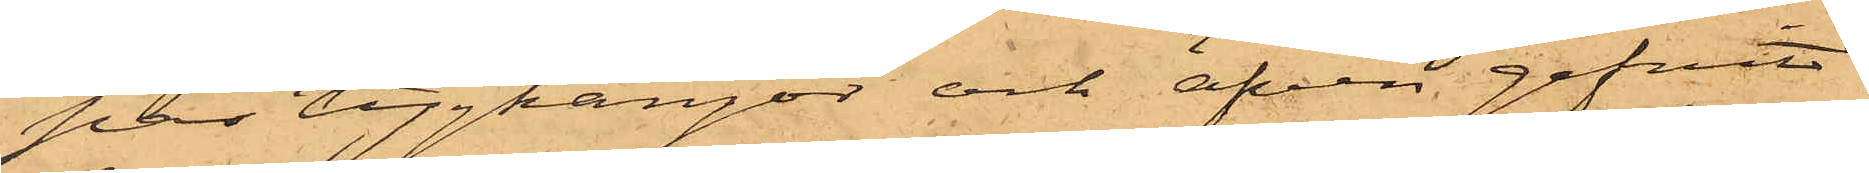par tygkängor och äfven gifvit
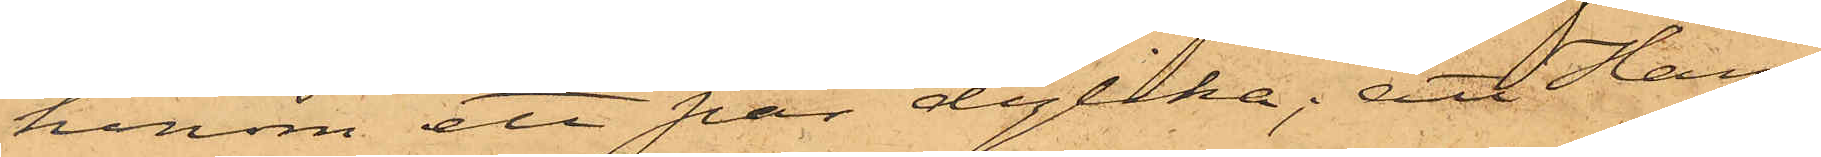honom ett par dylika; att Hans¬
